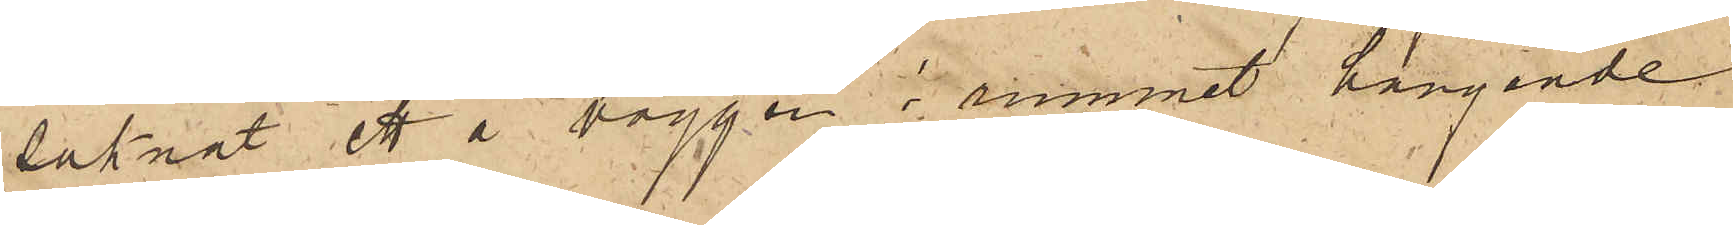saknat ett å väggen i rummet hängande
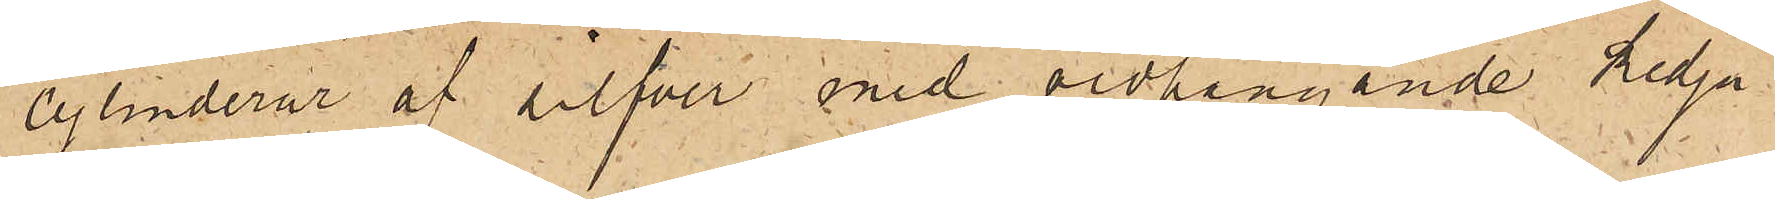cylinderur af silfver med vidhängande kedja
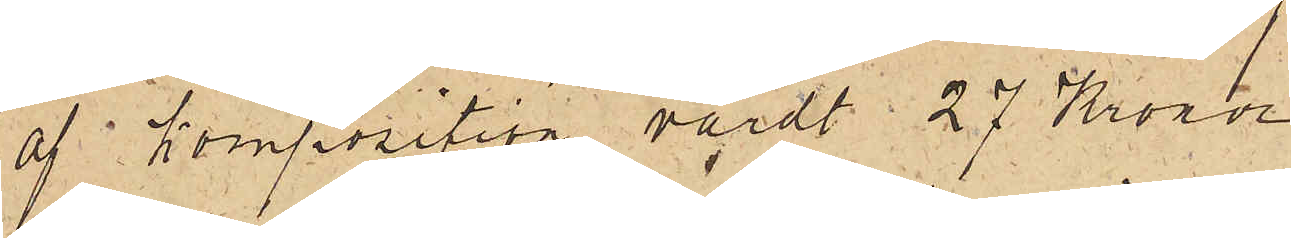af komposition värdt 27 Kronor.
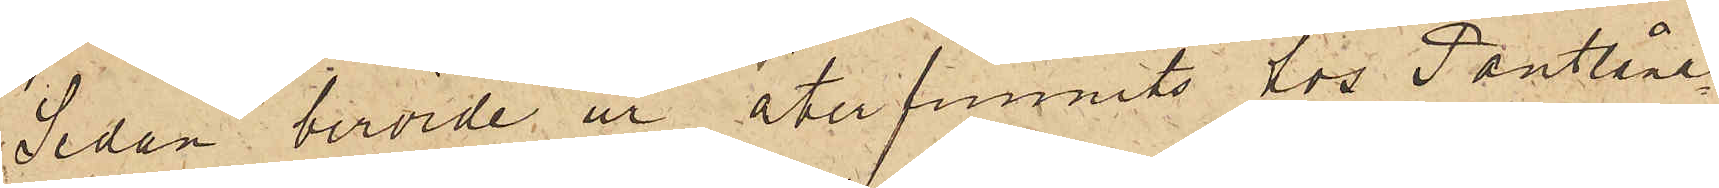Sedan berörde ur återfunnits hos Pantlåna¬
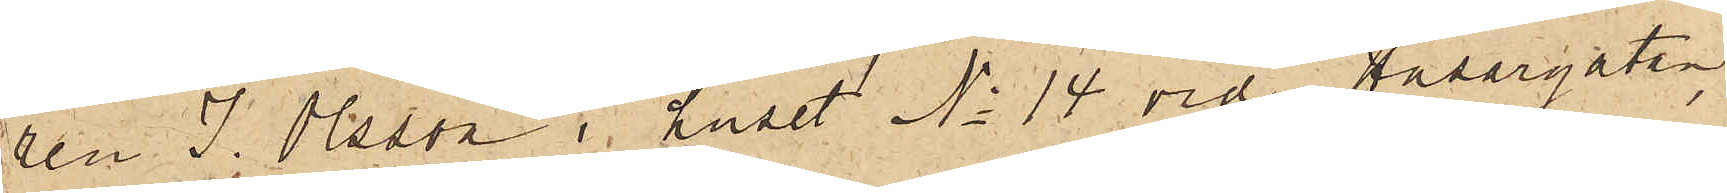ren J. Olsson i huset No 14 vid Husargatan,
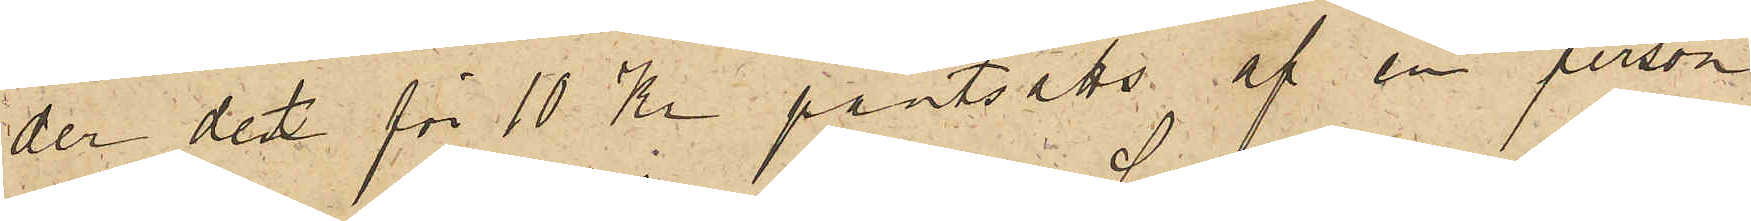der det för 10 Kr pantsatts af en person
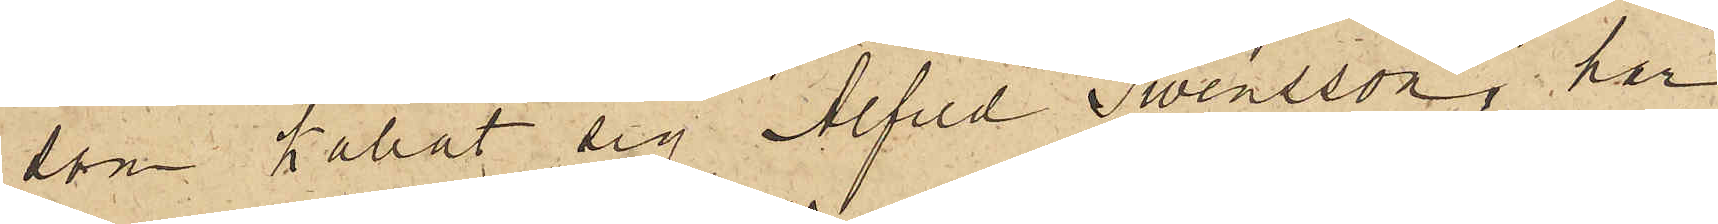som kallat sig Alfred Swensson, har
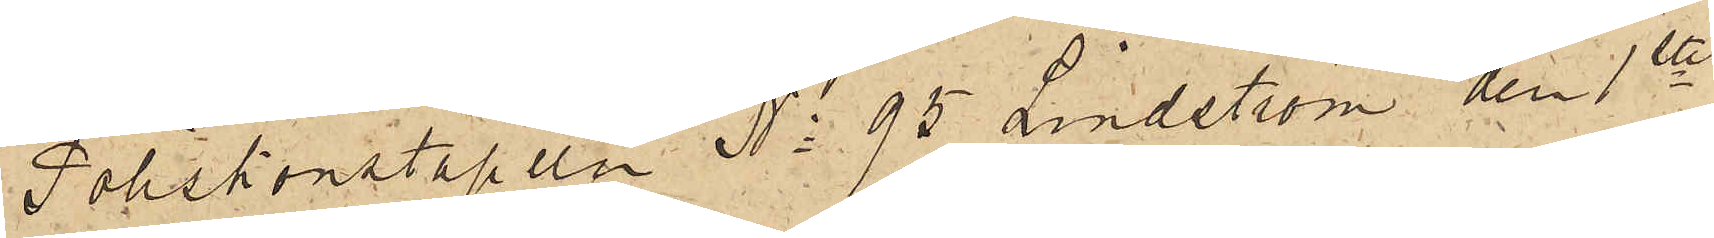Poliskonstapeln No 95 Lindström den 1ste
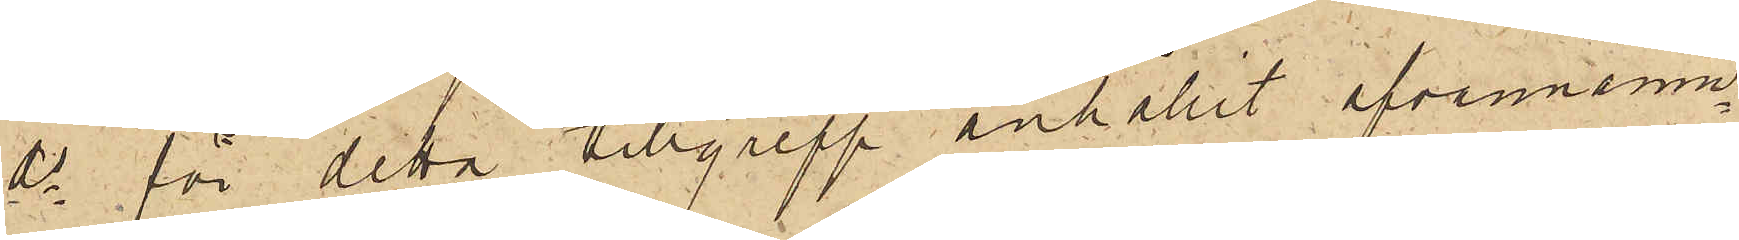ds för detta tillgrepp anhållit ofvannämn¬
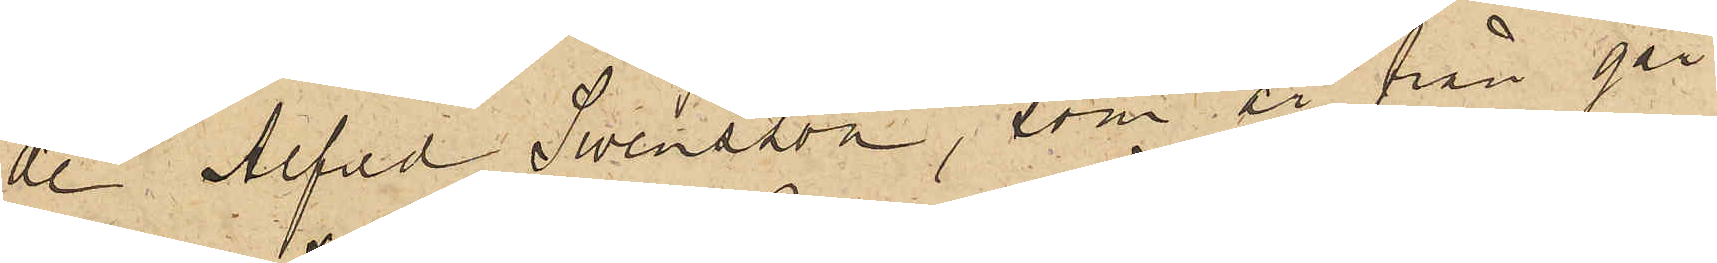de Alfred Swensson, som är från går¬
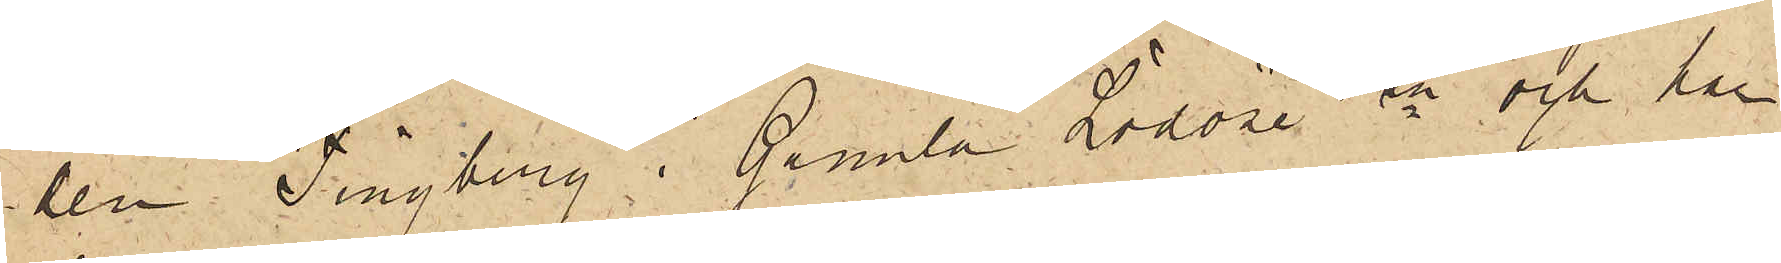len Tingberg i Gamla Lödöse sn och har
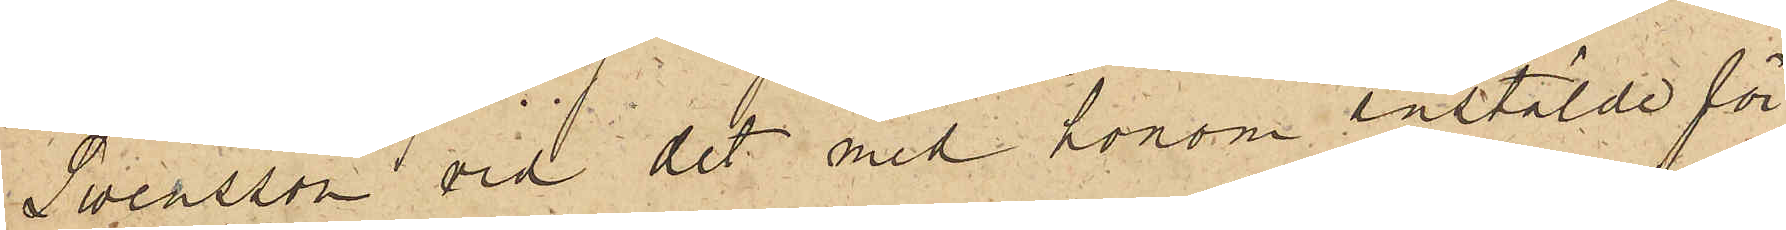Swensson vid det med honom anstälde för¬
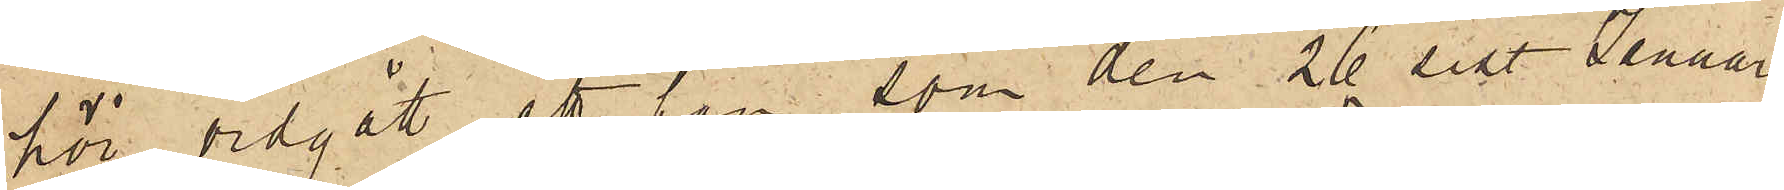hör vidgått, att han, som den 26 sist. Januari
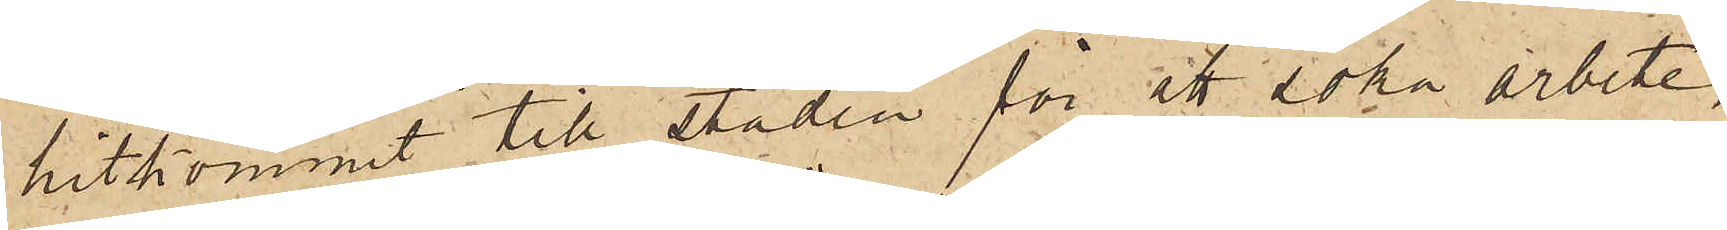hitkommit till staden för ett söka arbete,
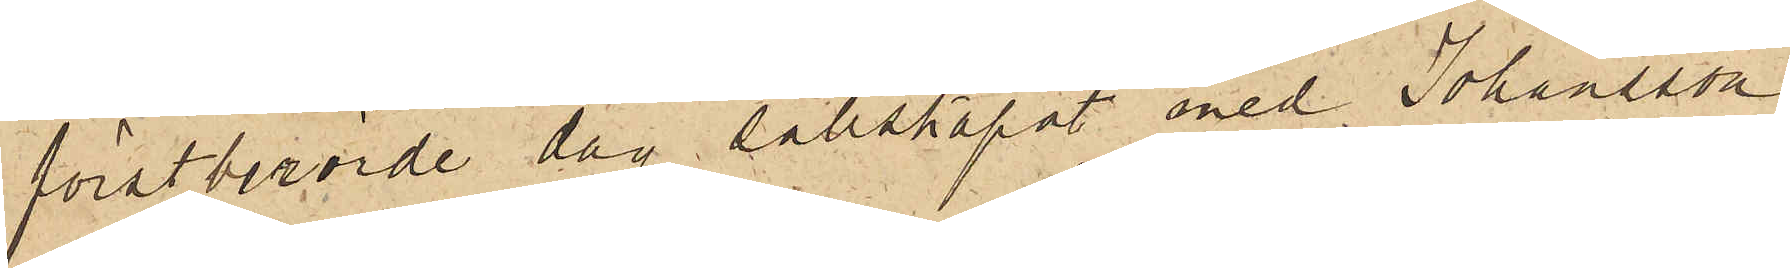förstberörde dag sällskapat med Johansson
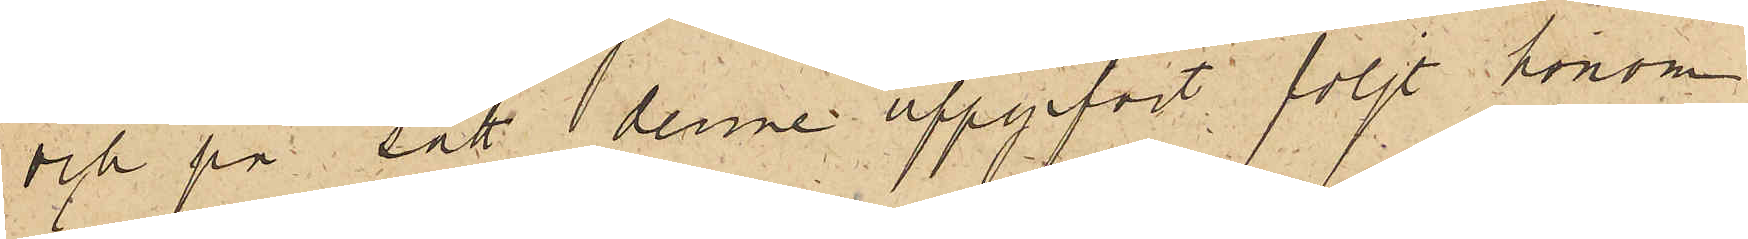och på sätt denne uppgifvit följt honom
